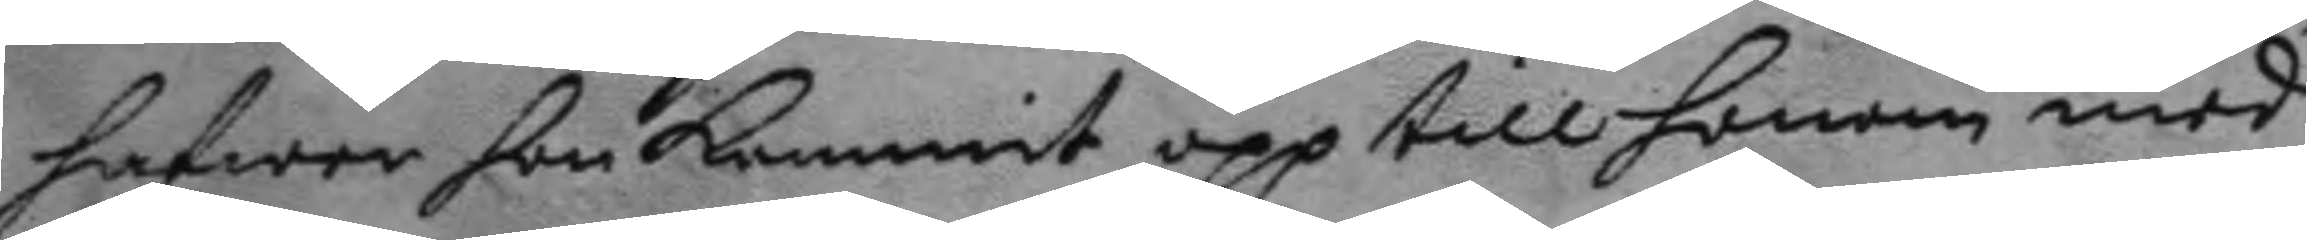hafwer hon kommit opp till honom med
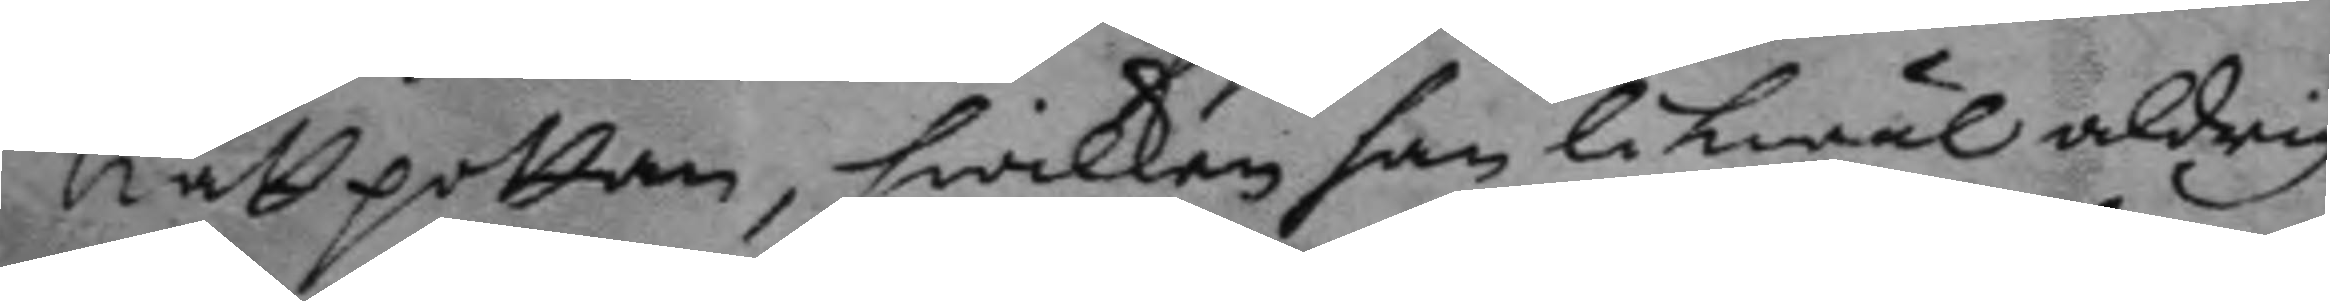nattpottan, hwilken han likwäl aldrig
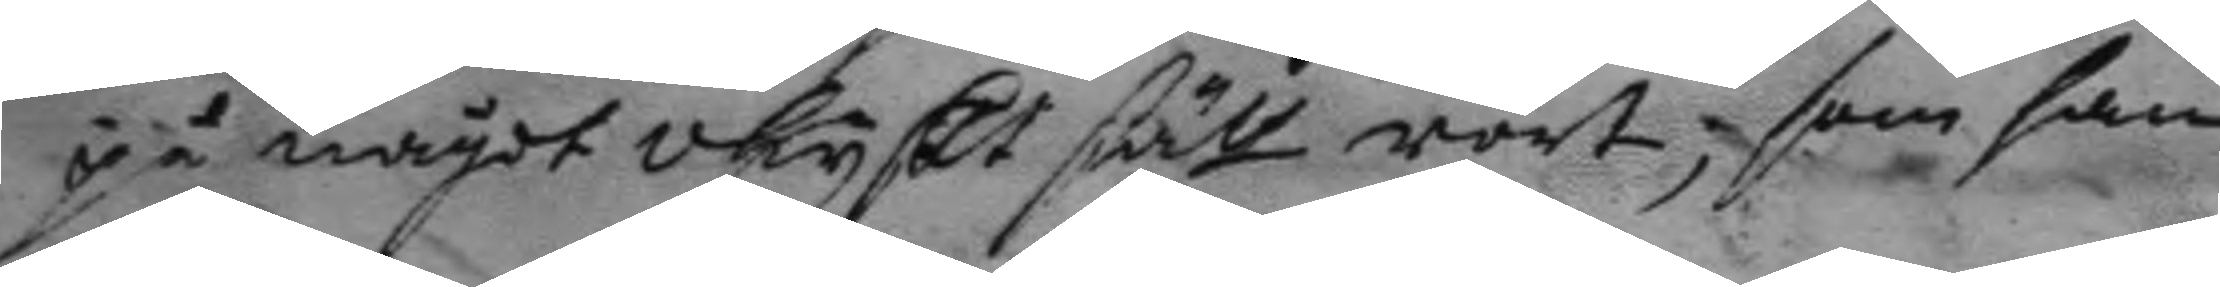på något okyskt sätt rört, som han
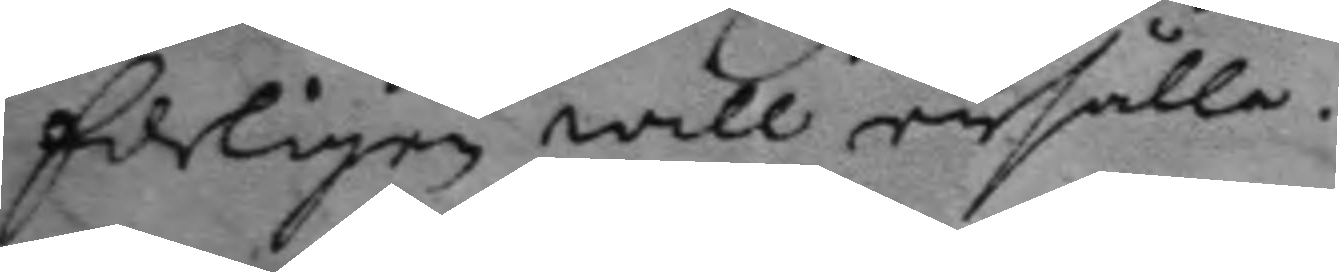Edeligen will enhålla.
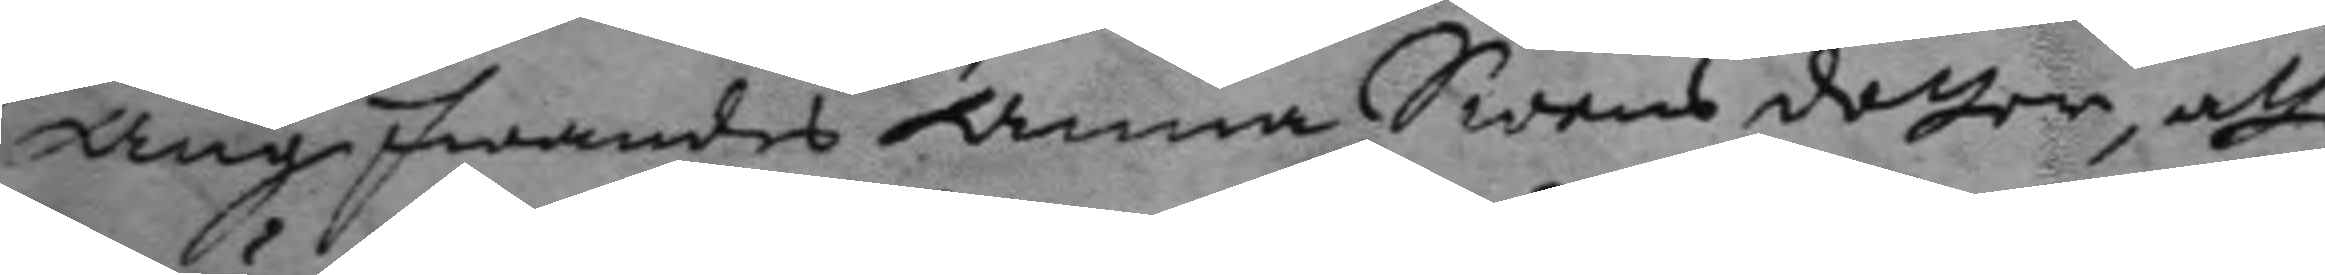Angifwandes Anna Swens dotter, att
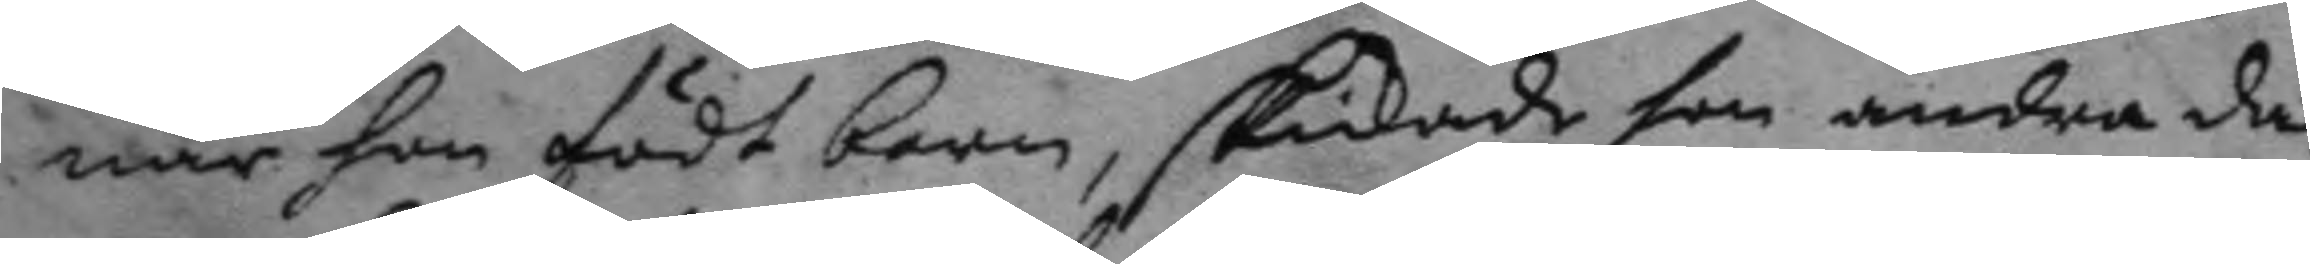när hon födt barn, skickade hon andra da¬
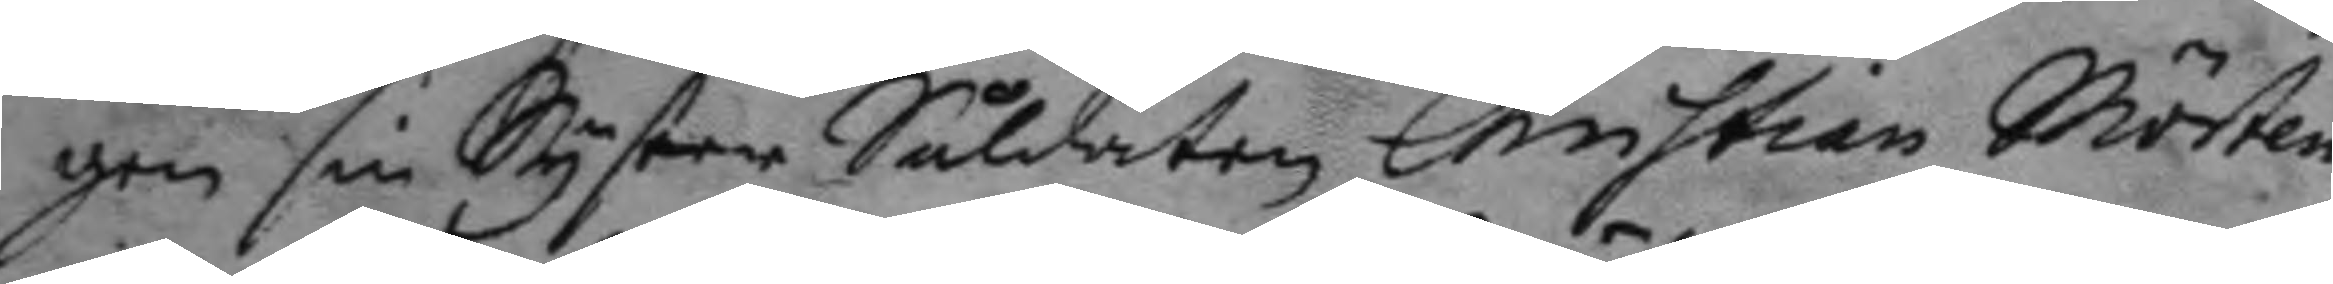gen sin Syster Såldaten Christian Mörten¬
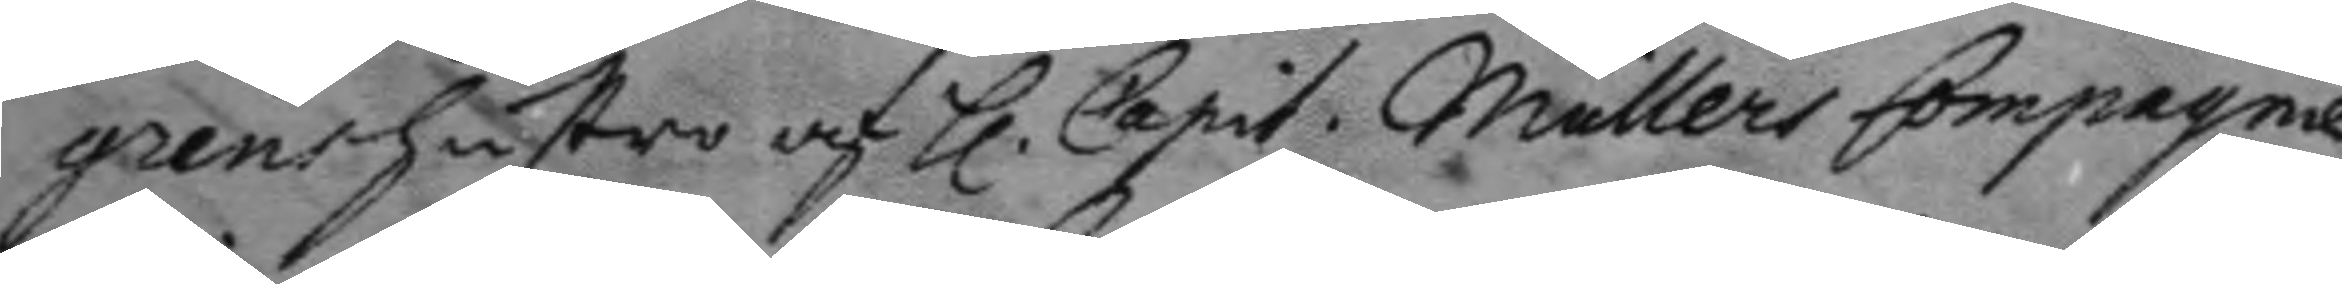grens hustro af h. Capit. Mullers Compagnie
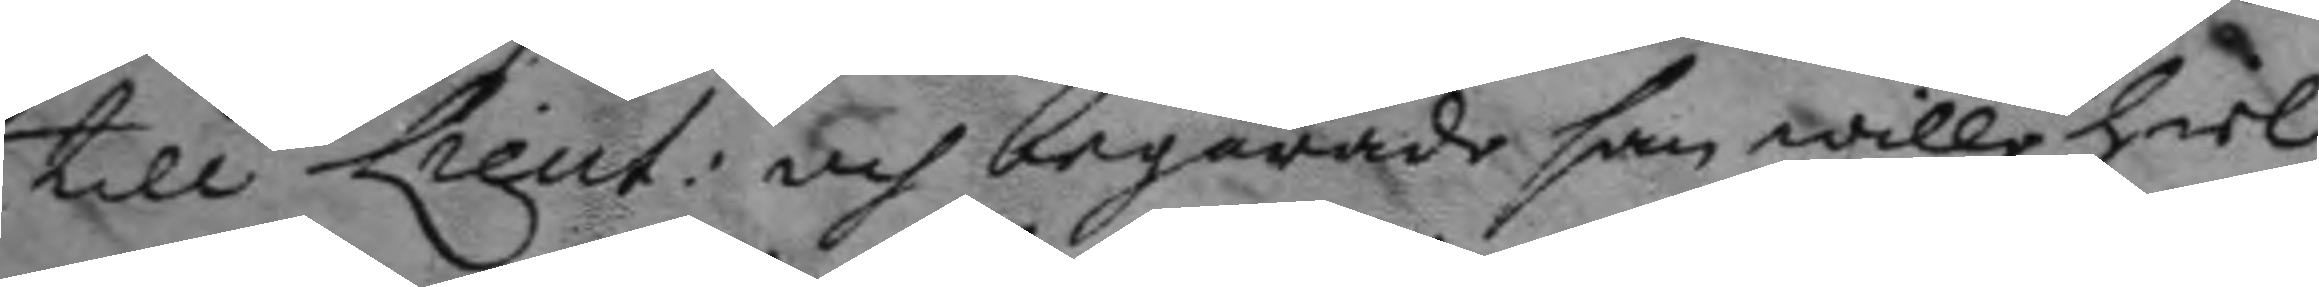till Lieut: och begärade han wille hiel¬
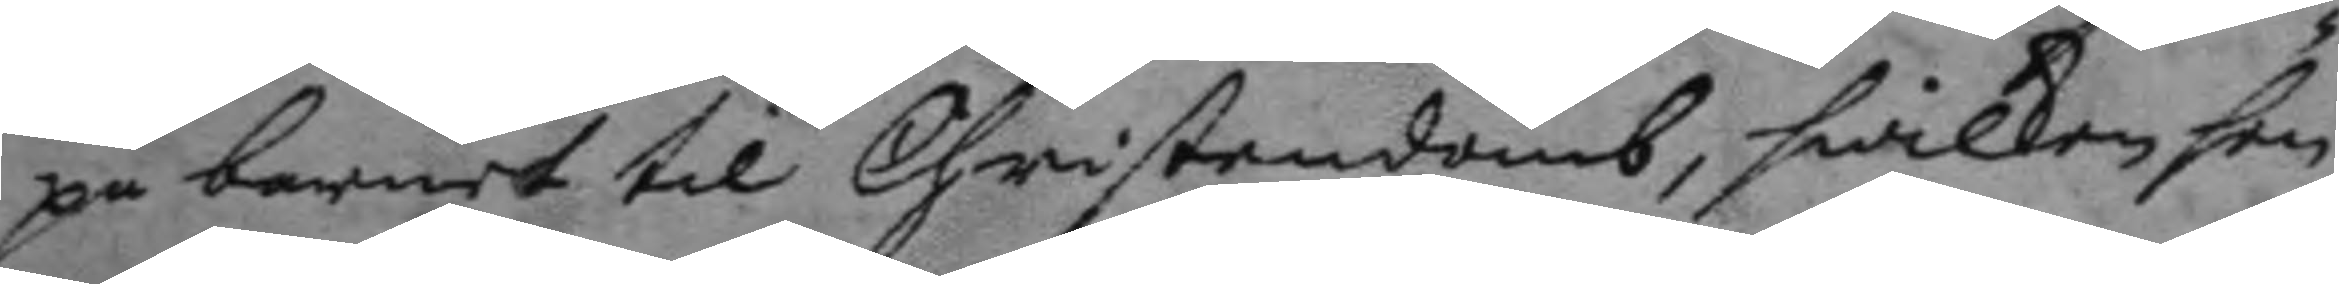pa barnet til Christendomb, hwilken hen¬
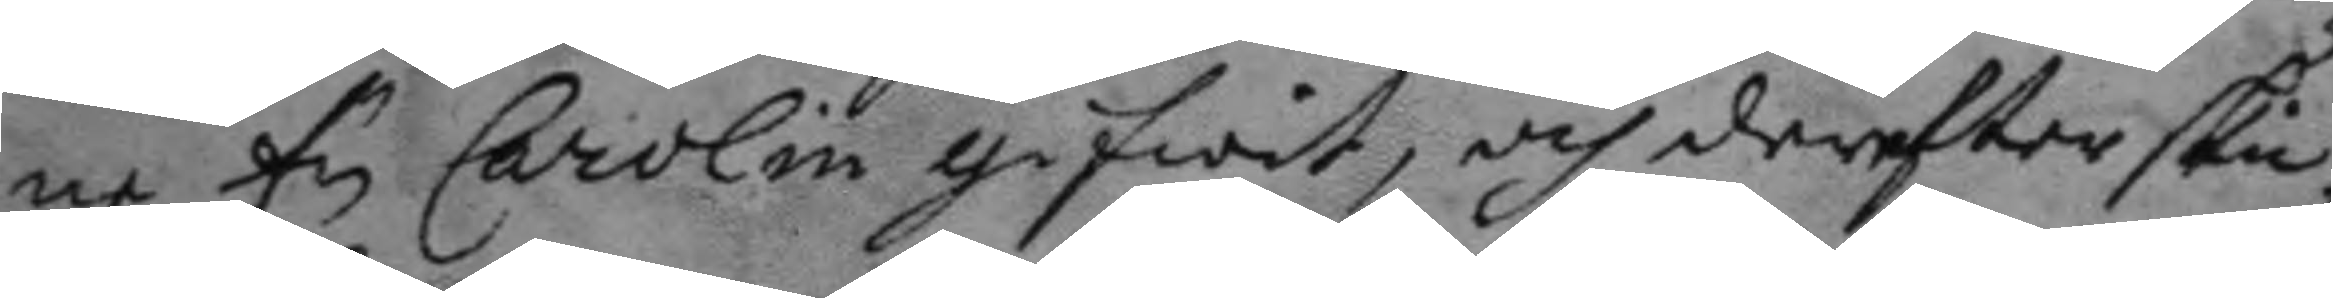ne fy Carolin gifwit, och dereftter ski¬
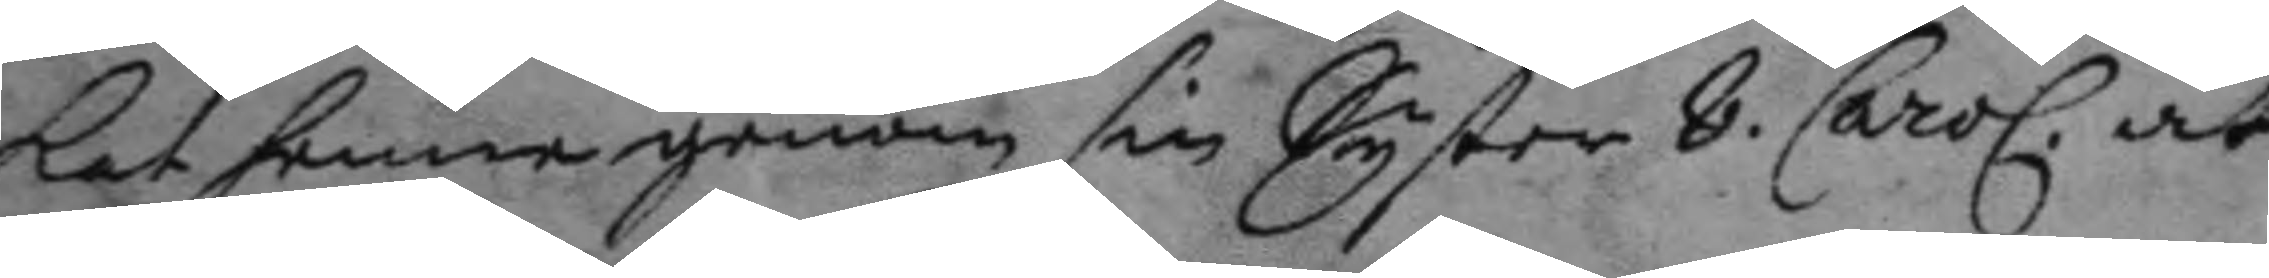kat henne genom sin Syster 8 Carol. at
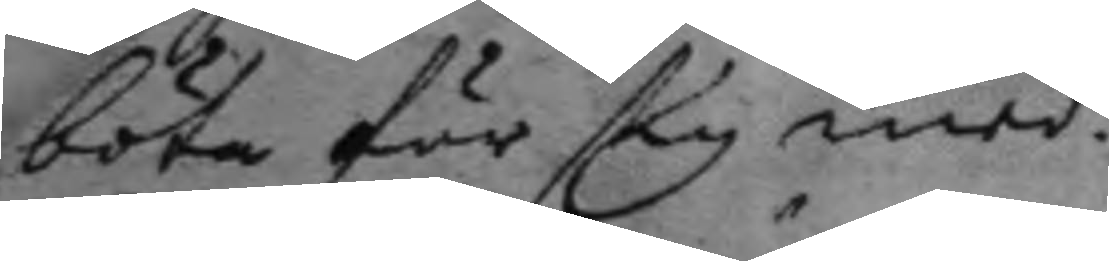böta för sig med.
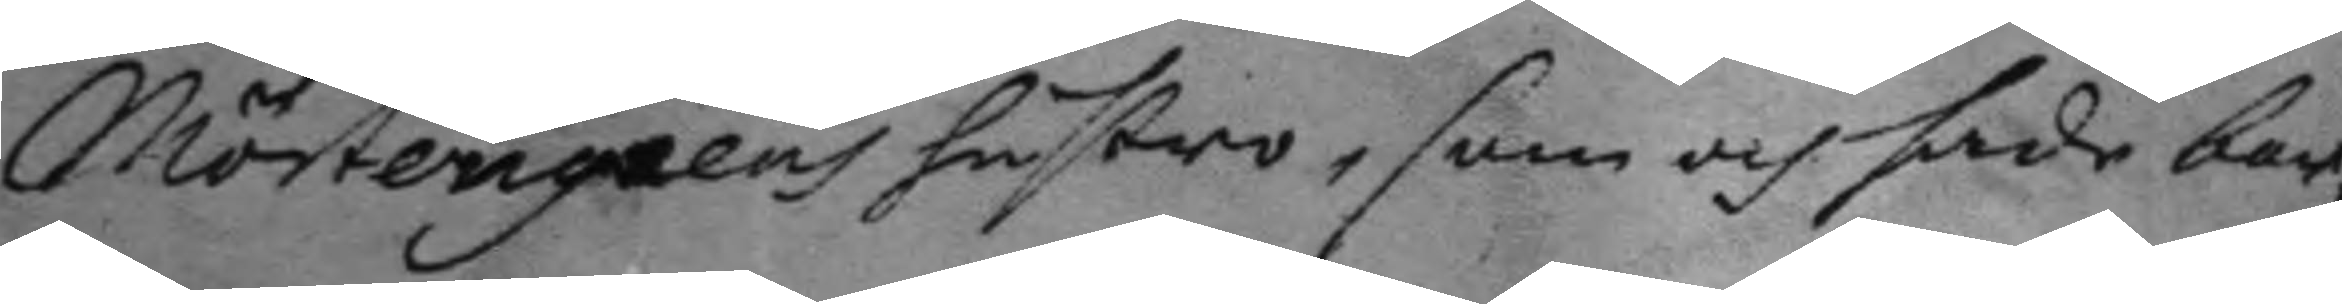Mörtengrens hustro, som och hade bar¬
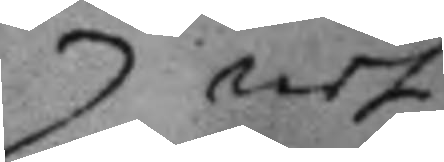net
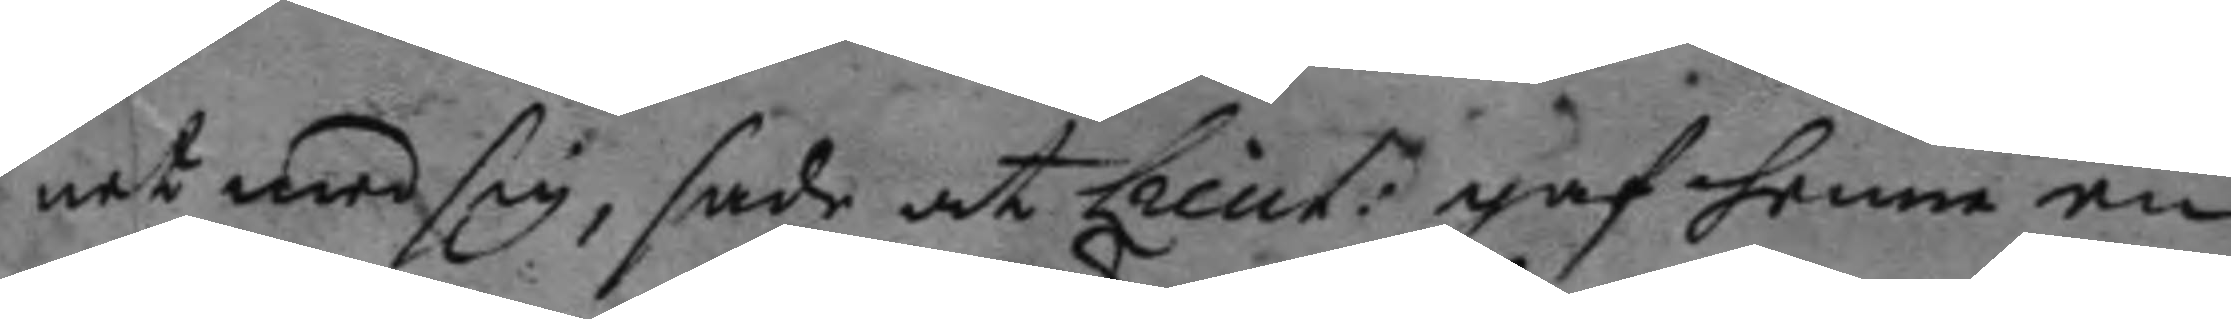net med sig, sade att Lieut: gaf henne en
